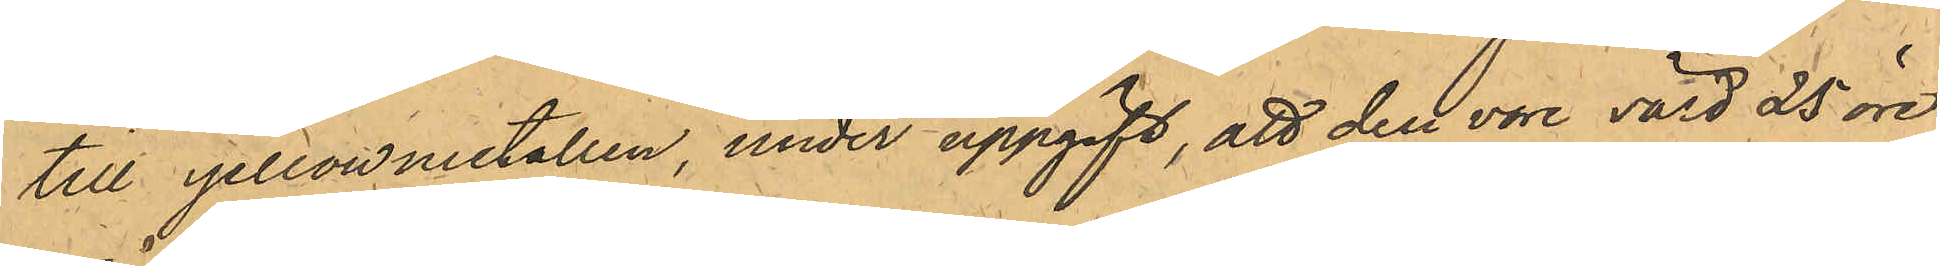till yellowmetallen, under uppgift, att den vore värd 25 öre
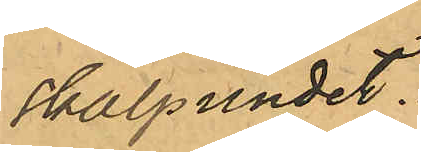skålpundet.
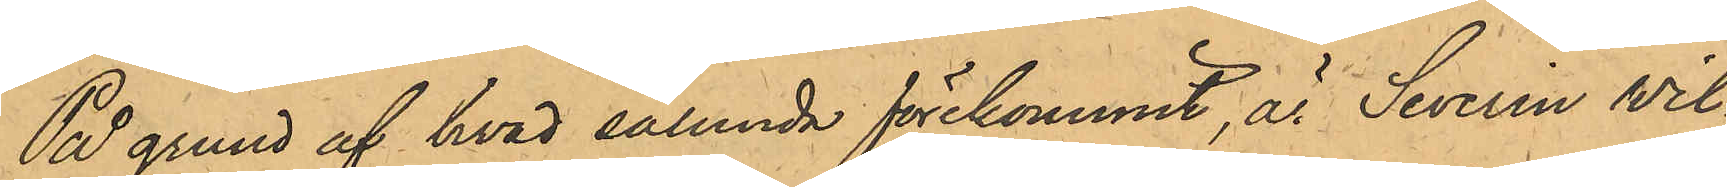På grund af hvad sålunda förekommit, är Severin Wil¬
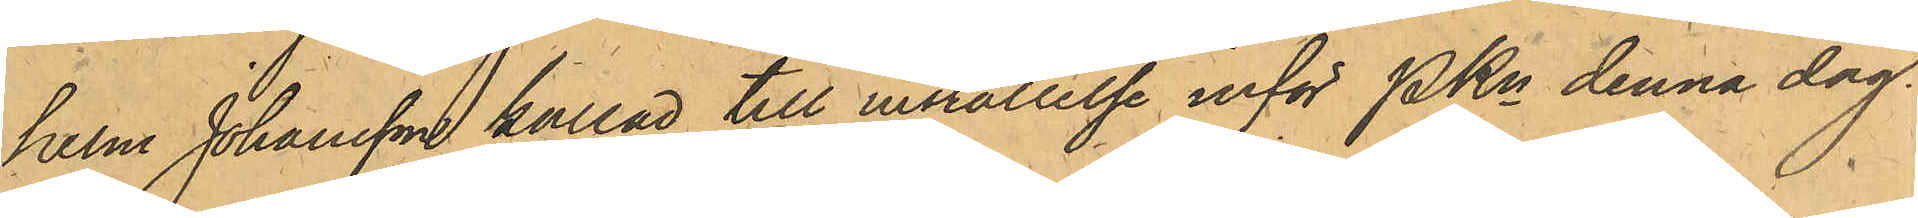helm Johansson kallad till inställelse inför PKn denna dag.
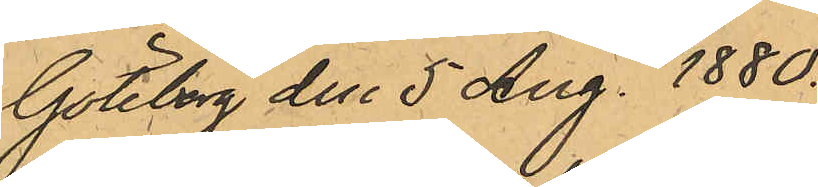Göteborg den 5 Aug. 1880.
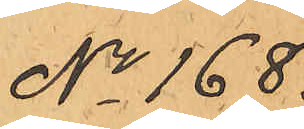No 168
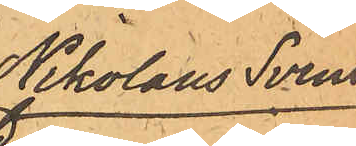Nikolaus Svens¬
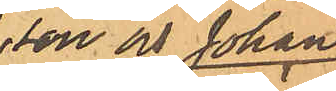son och Johan
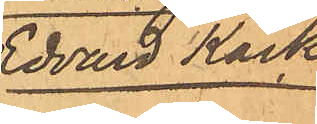Edvard Käck
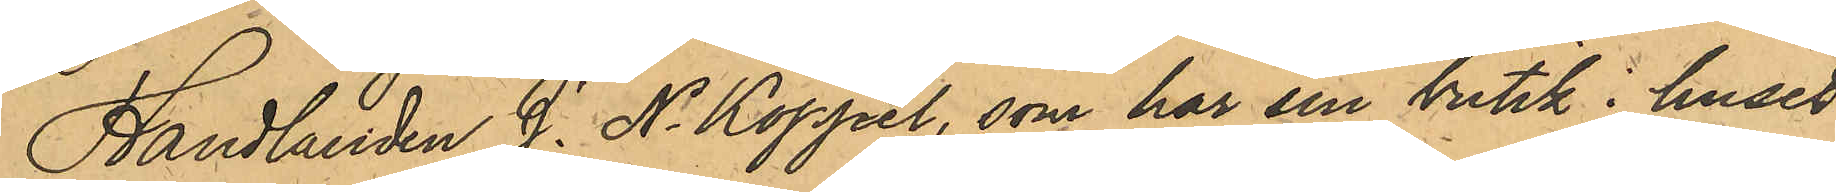Handlanden J. N. Koppel, som har sin butik i huset
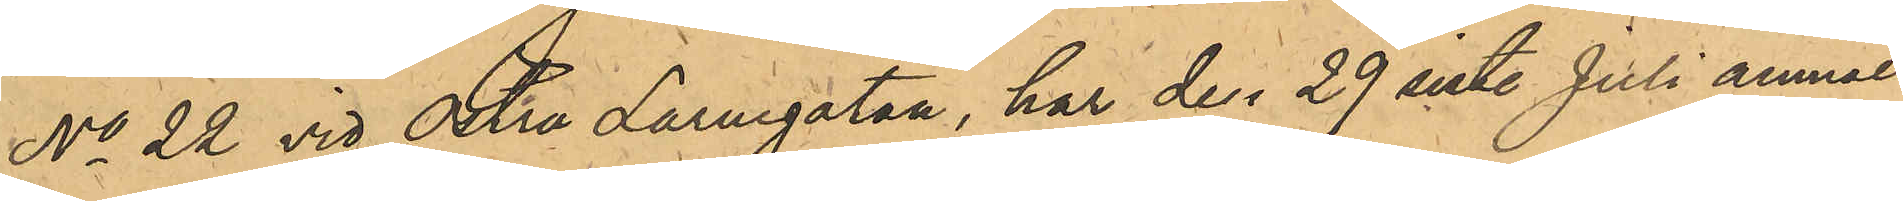No 22 vid Östra Larmgatan, har den 29 sist. Juli anmält,
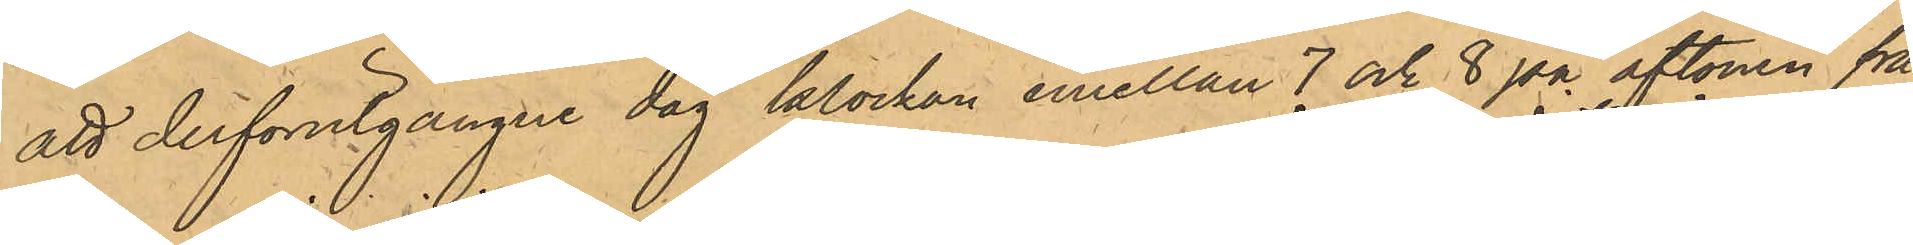att derförutgångne dag klockan emellan 7 och 8 på aftonen från
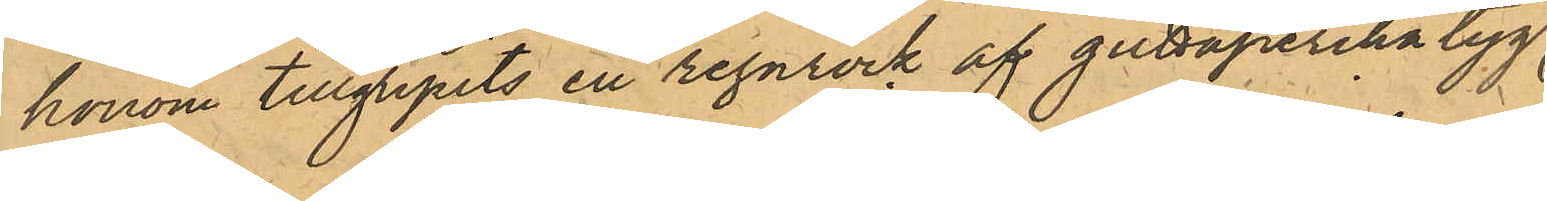honom tillgripits en regnrock af guttaperchatyg,
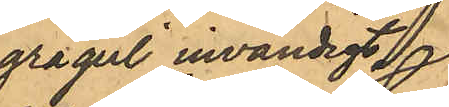grågul invändigt
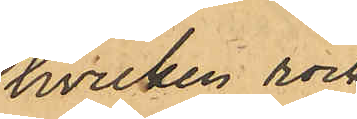hvilken rock
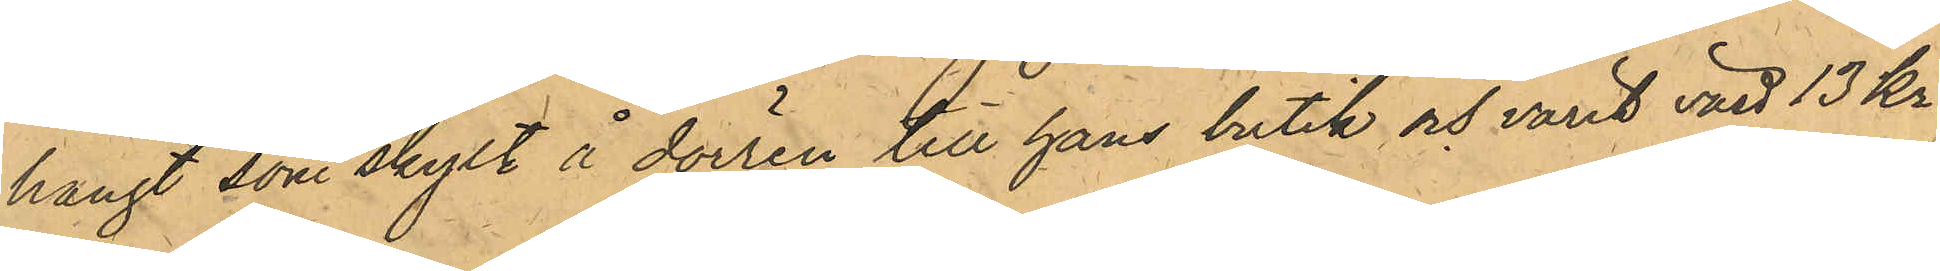hängt som skylt å dörren till hans butik och varit värd 13 kr.
